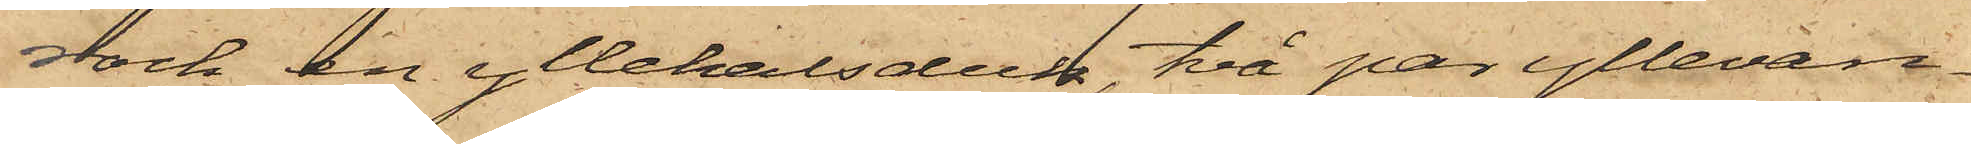rock, en yllehalsduk, två par yllevan¬
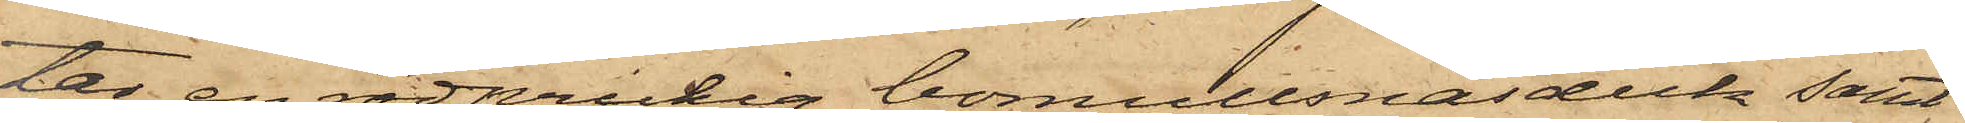tar, en rödprickig bomullsnäsduk samt
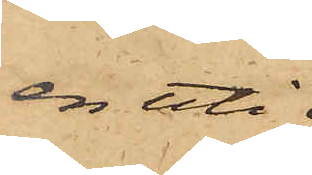en uti
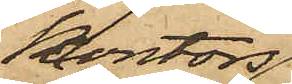kontors¬
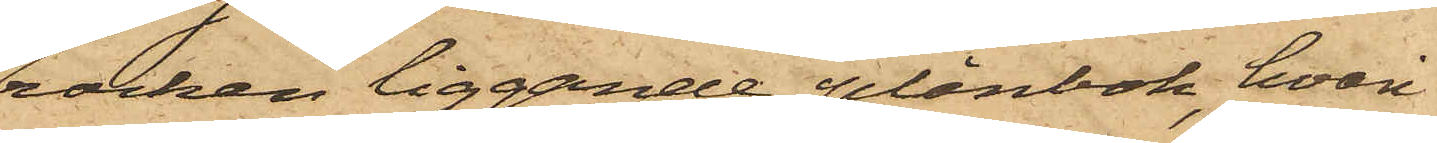rocken liggande plånbok, hvari
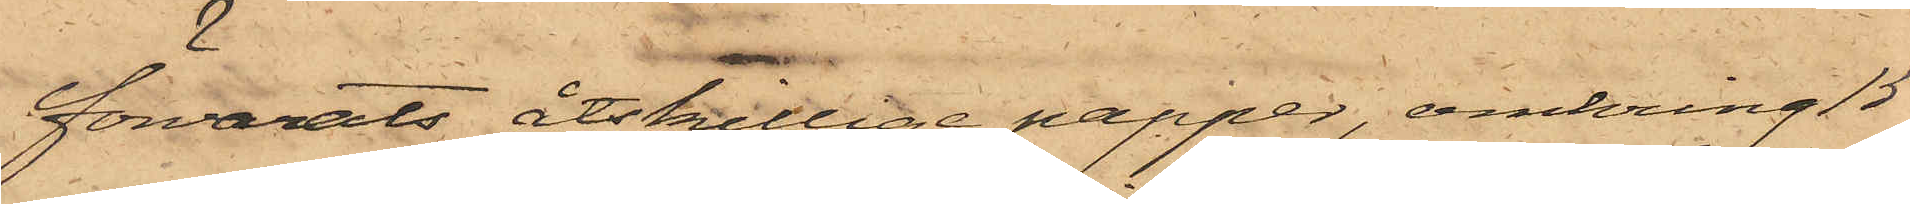förvarats åtskillige papper, omkring 15
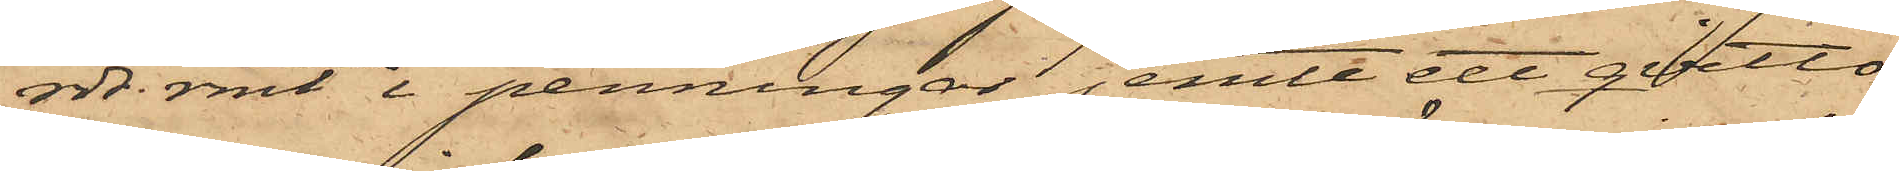rdr. rmt i penningar, jemte ett qvitto
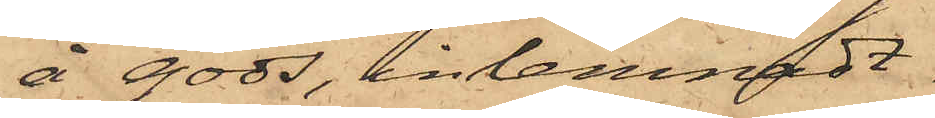å gods, inlemnadt
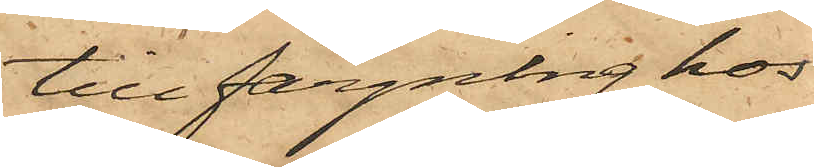till färgning hos
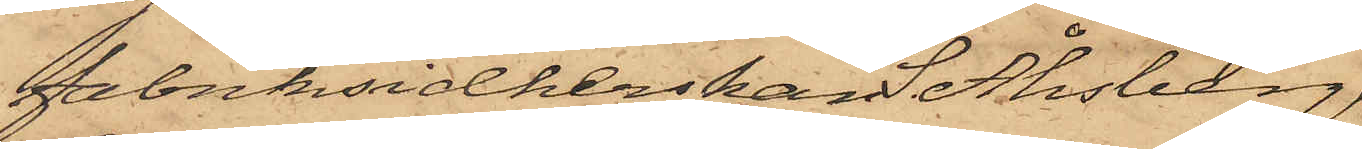fabriksidkerskan S. Åhsberg,
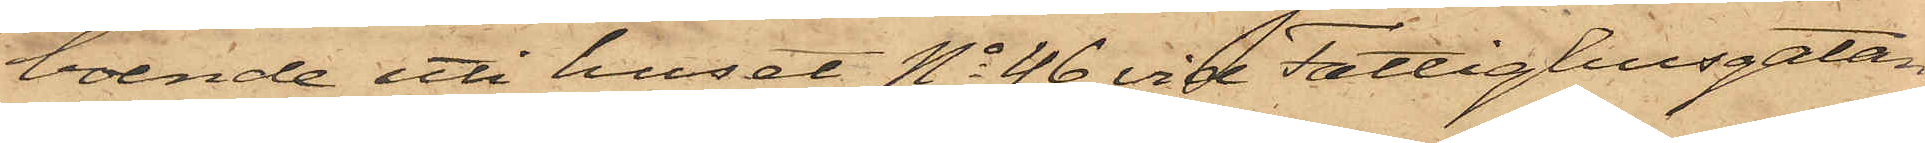boende uti huset No 46 vid Fattighusgatan
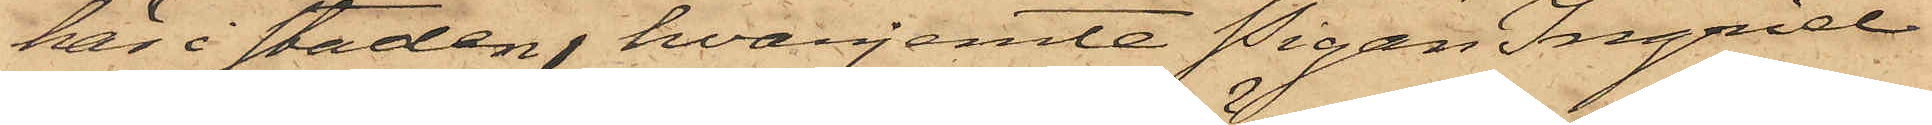här i staden, hvarjemte Pigan Ingrid
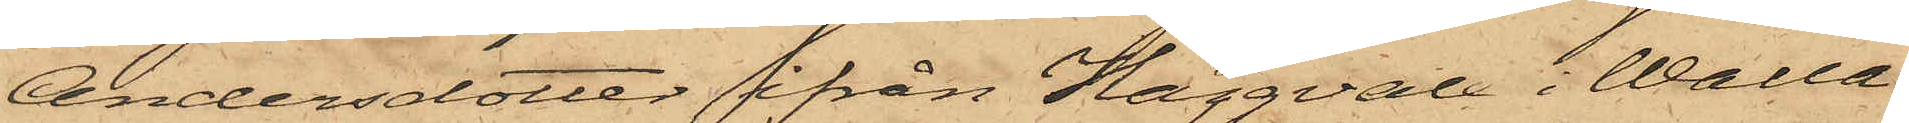Andersdotter ifrån Häggvall i Walla
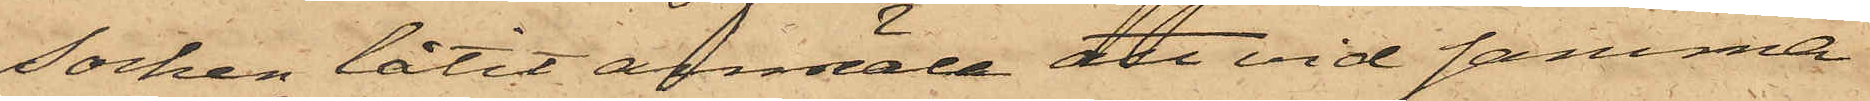Socken låtit anmäla att vid samma
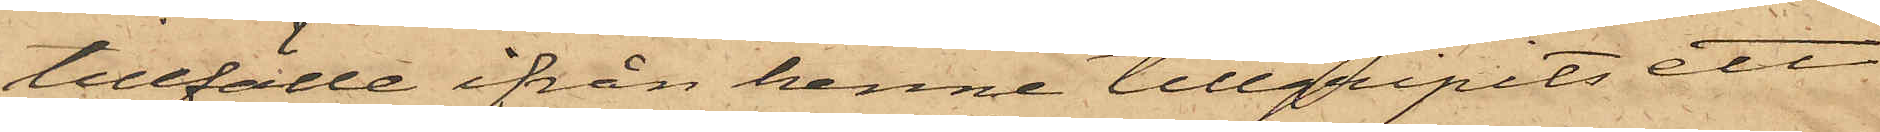tillfälle ifrån henne tillgripits ett
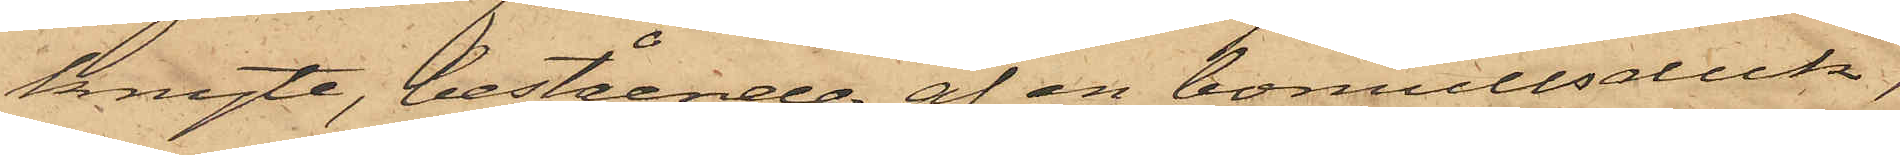knyte, bestående af en bomullsduk,
